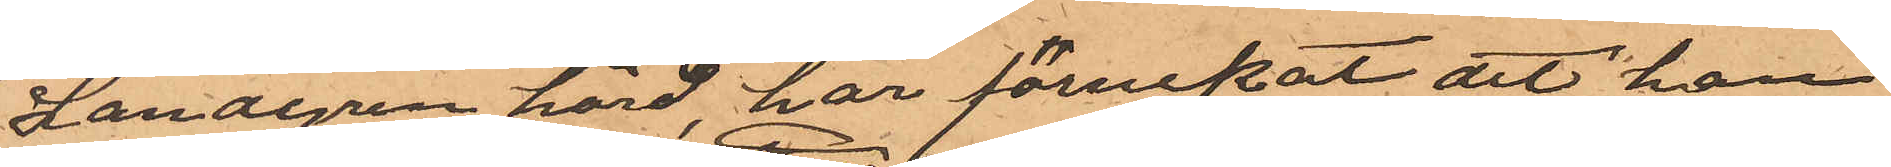Landgren hörd, har förnekat att han
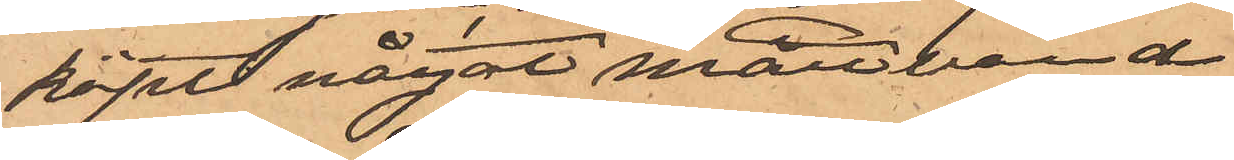köpt något måttband
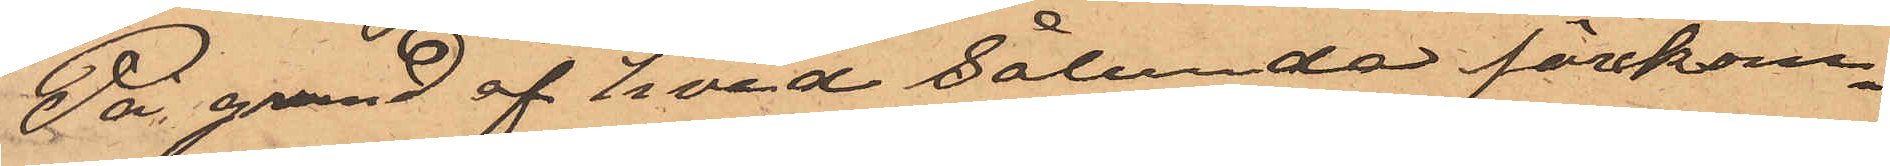På grund af hvad sålunda förekom¬
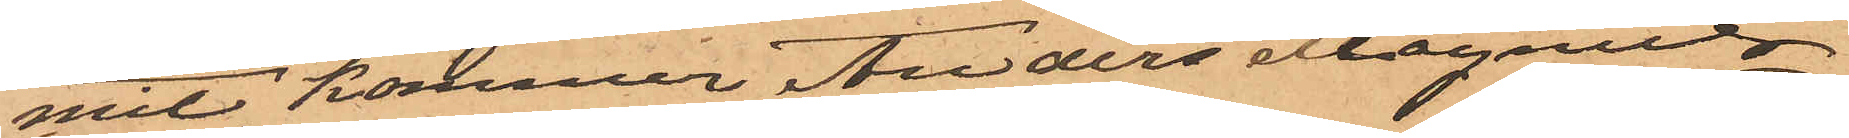mit, kommer Anders Magnus
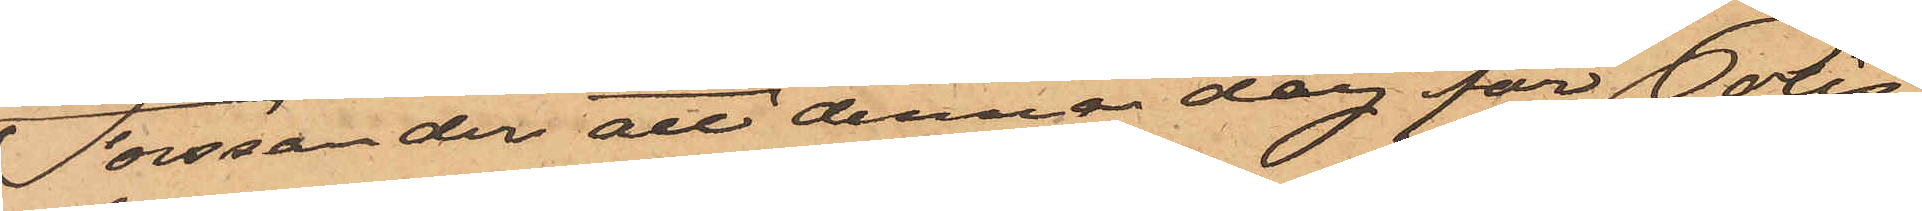Forssander att denna dag för Polis¬
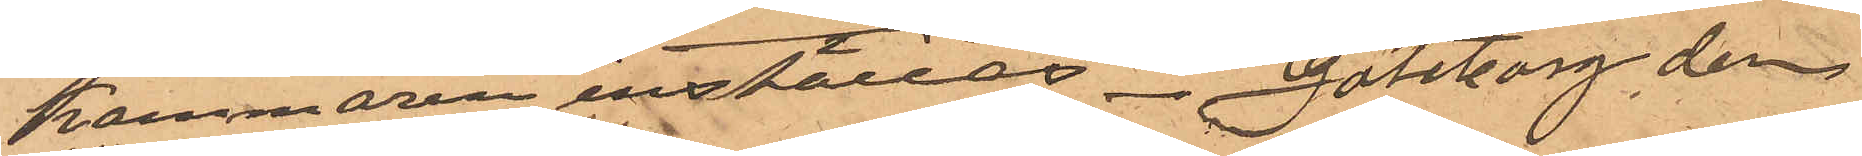kammaren inställas. Göteborg den
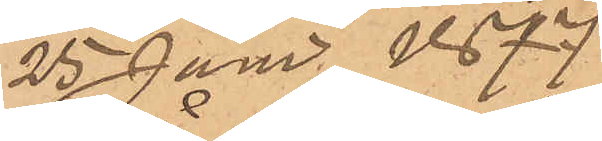25 Juni 1877
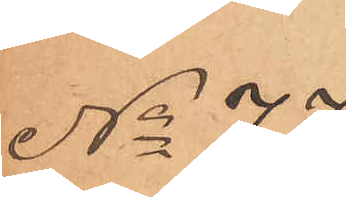No 77
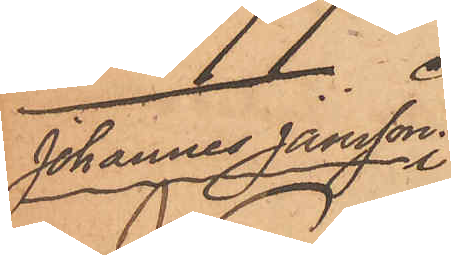Johannes Jansson
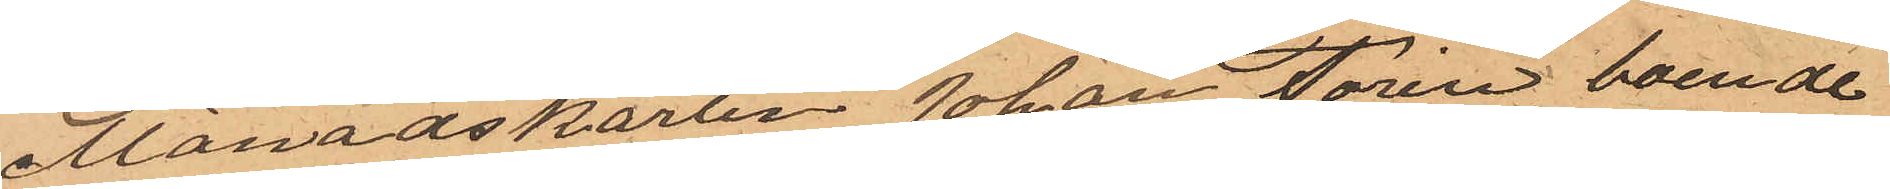Månadskarlen Johan Torin, boende
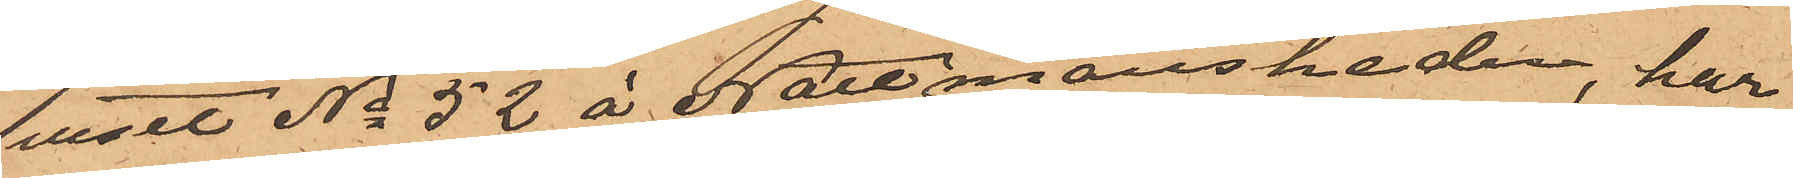i huset No 52 å Nattmansheden, har
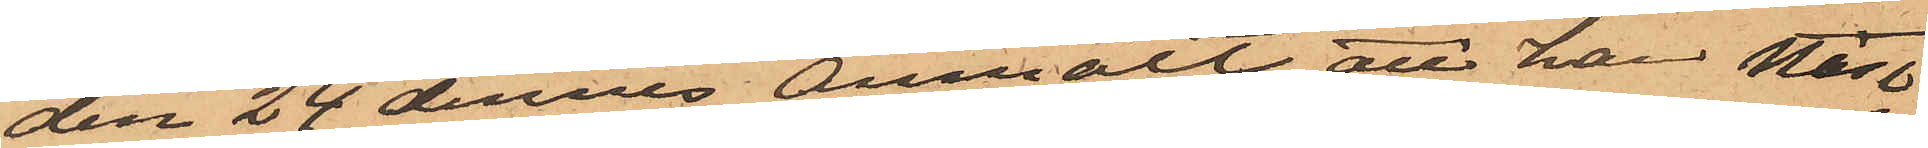den 24 dennes anmält att han näst
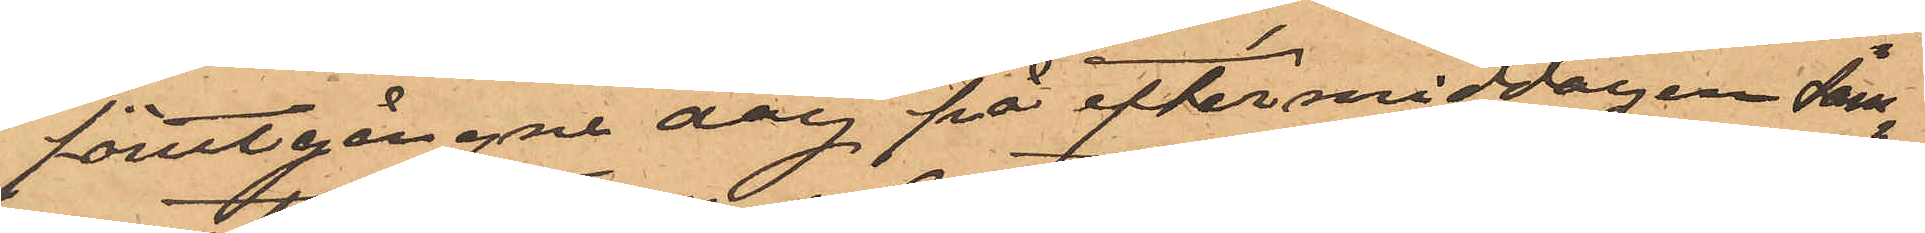förutgångne dag på eftermiddagen sam¬
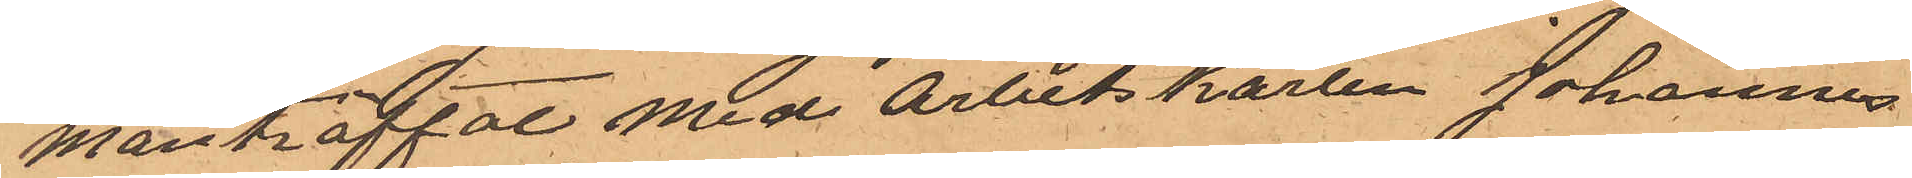manträffat med arbetskarlen Johannes
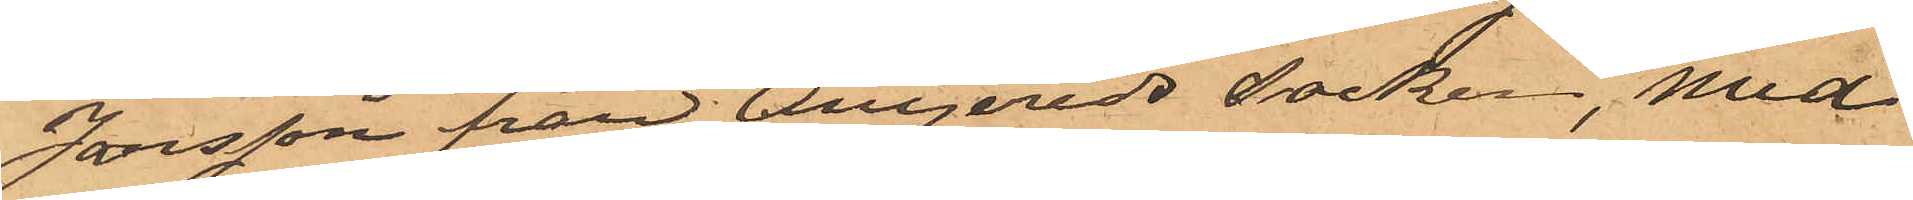Jansson från Angereds socken, med
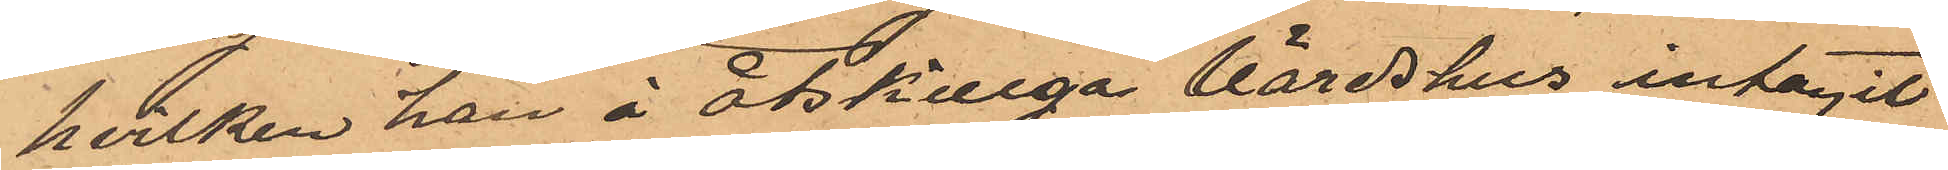hvilken han å åtskilliga värdshus intagit
